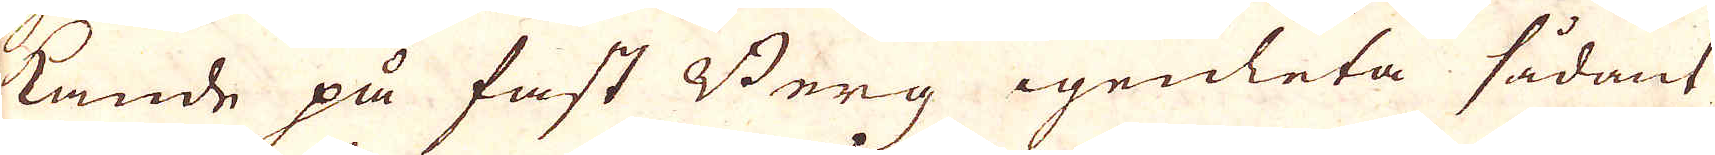kande på fast Berg igenleta sådant
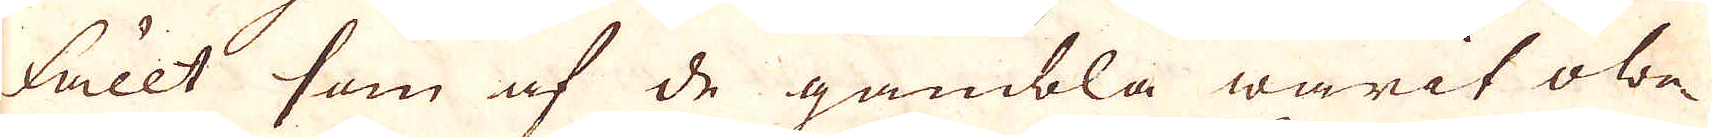fällt som af de gambla warit obe-
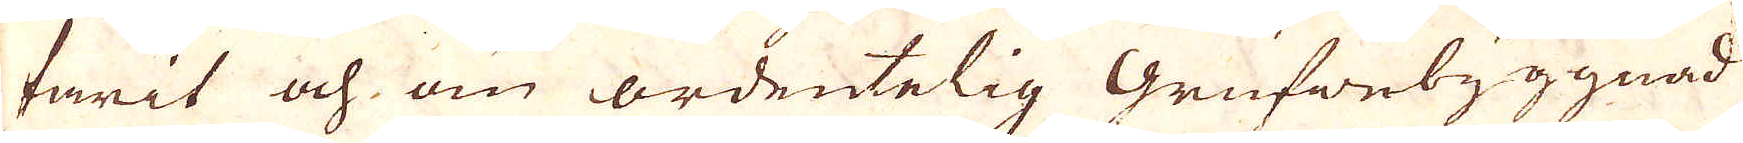farit och om ordentelig Grufwebyggnad
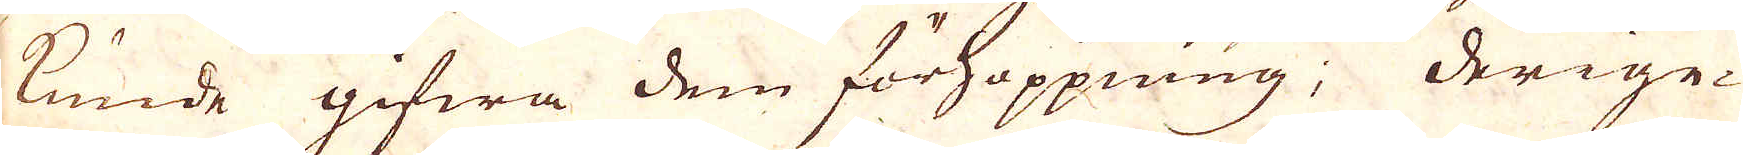kunde gifwa dem förhoppning; derige-
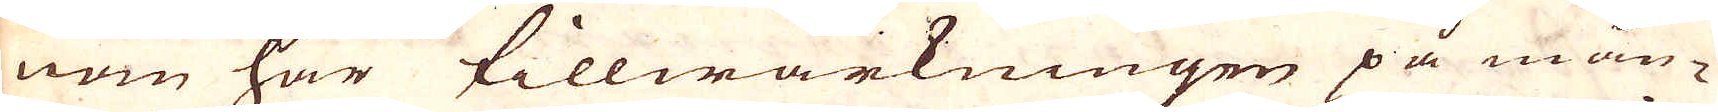nom har tillwärkningen på mån-
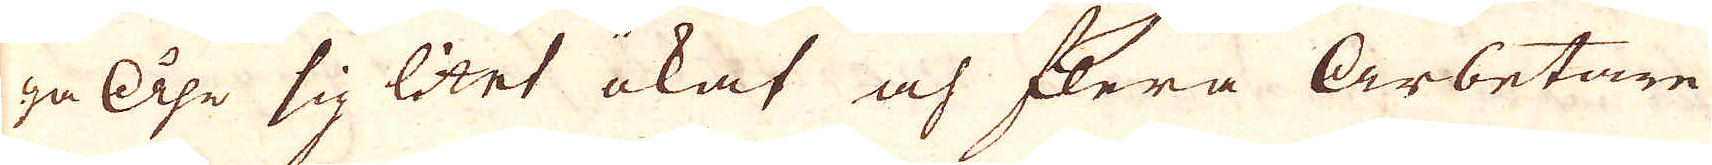ga Åhr sig litet ökat och flera Arbetare
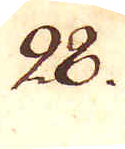28.
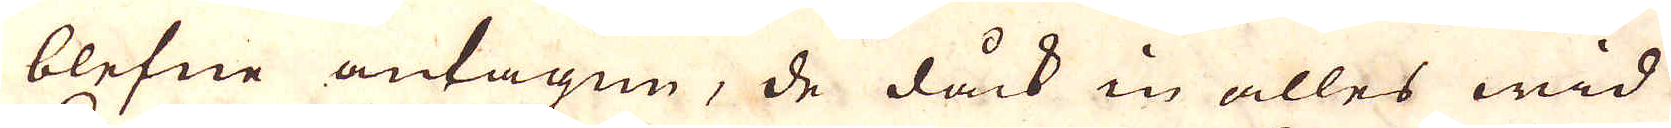blefne antagen, de dåck in alles wid
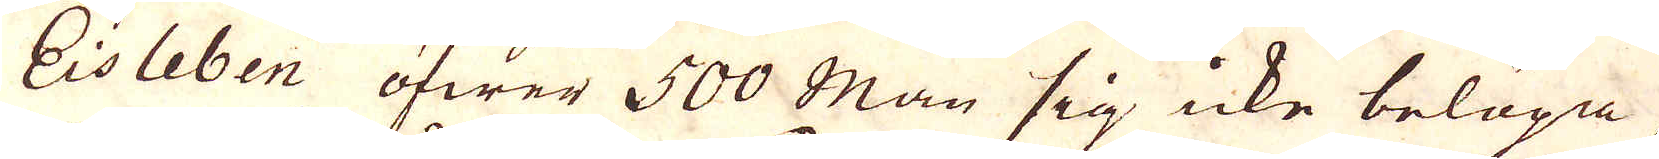Eisleben öfwer 500 Man sig icke beläga,
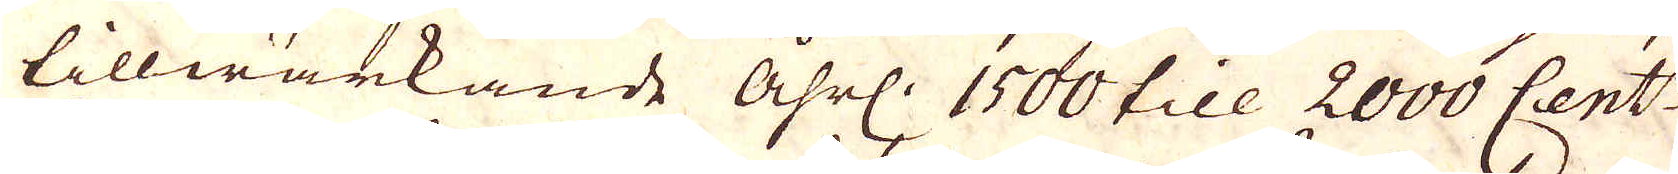tillwärkande åhrl: 1500 till 2000 Cent:r
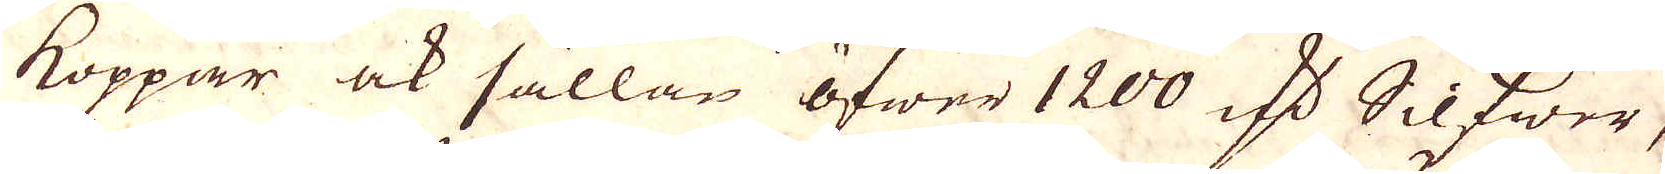koppar ock sällan öfwer 1200 marker Silfwer,
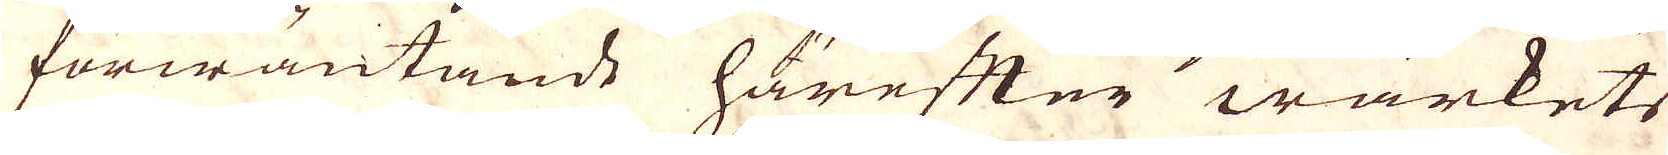förwäntande härefter wärkets
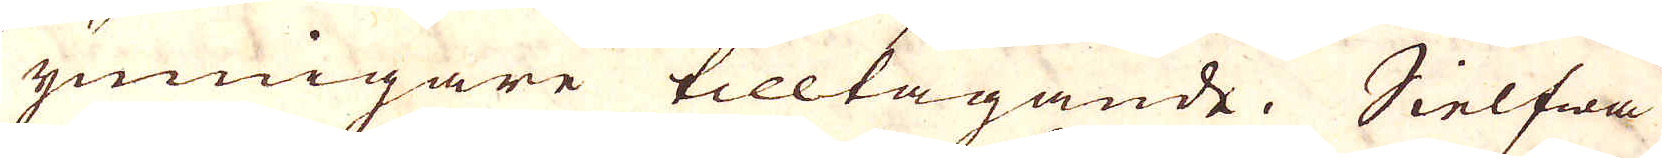ymnigare tilltagande. Sielfwa
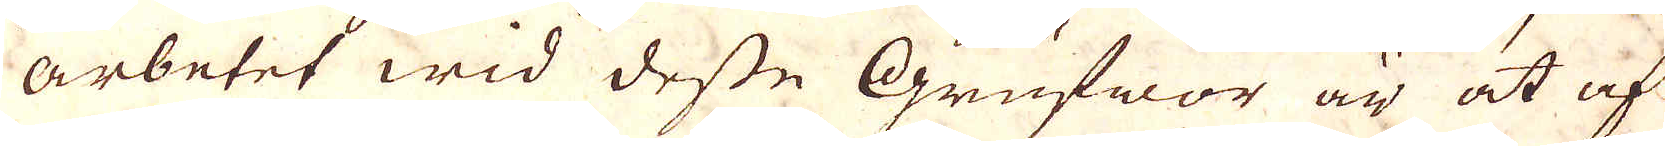arbetet wid desse Grufwor är at af
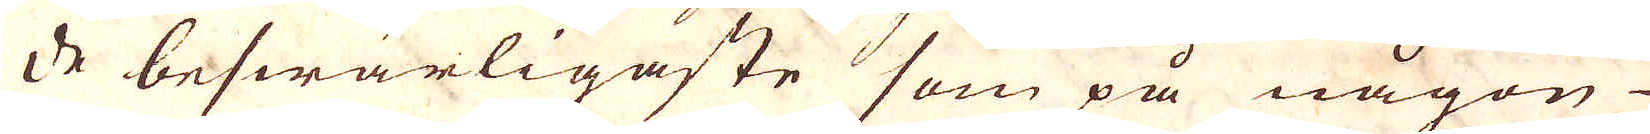de beswärligaste som på någon
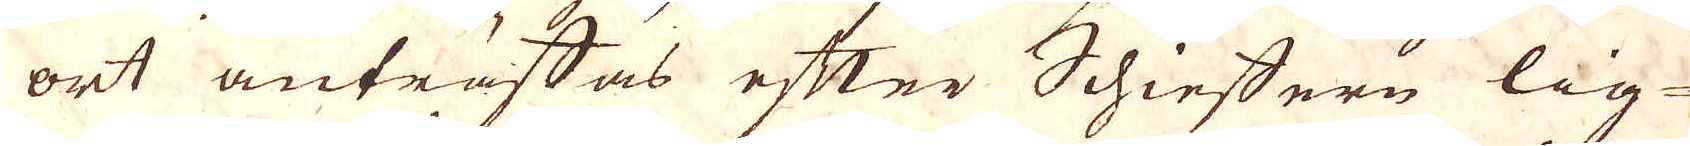ort anträffas efter Schieffern lig-
